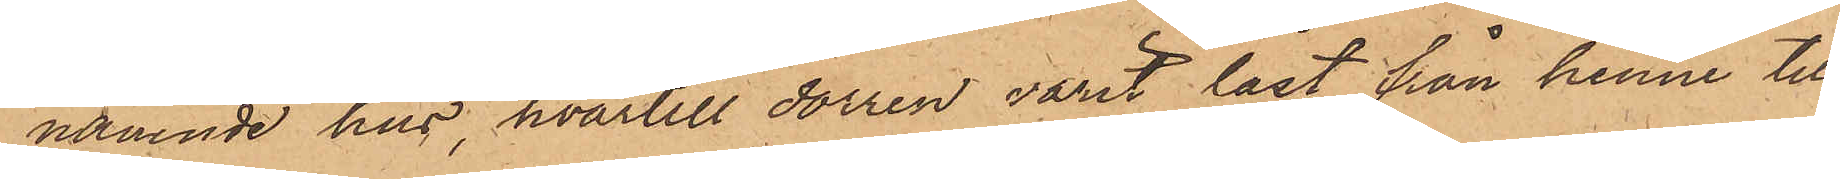nämnde hus, hvartill dörren varit låst från henne till
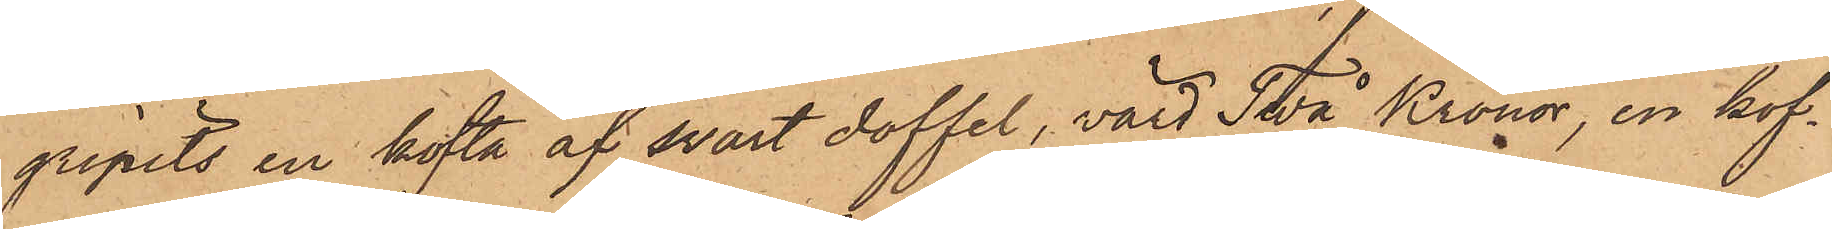gripits en kofta af svart doffel, värd Två Kronor, en kof¬
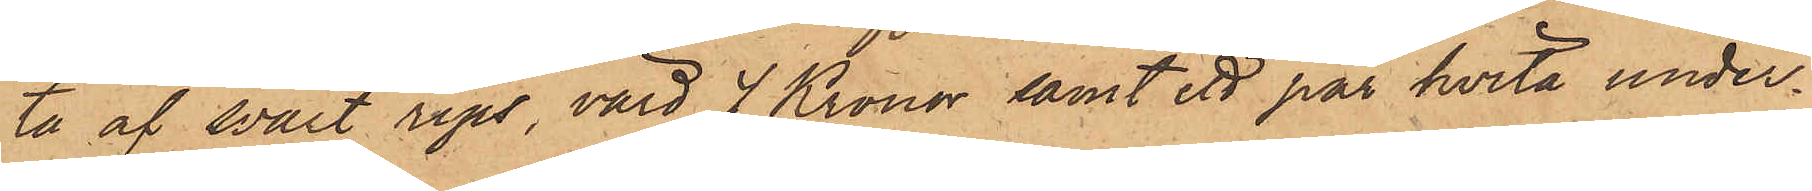ta af svart rips, värd 4 Kronor samt ett par hvita under¬
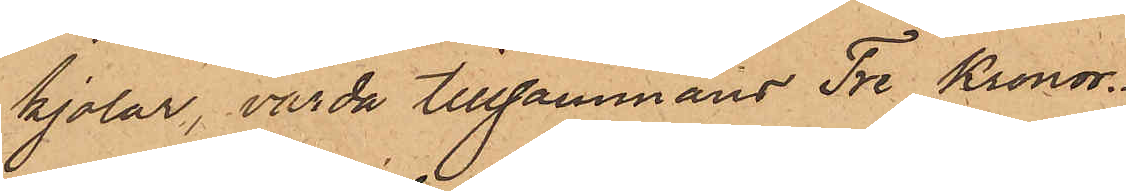kjolar, värda tillsammans Tre Kronor.
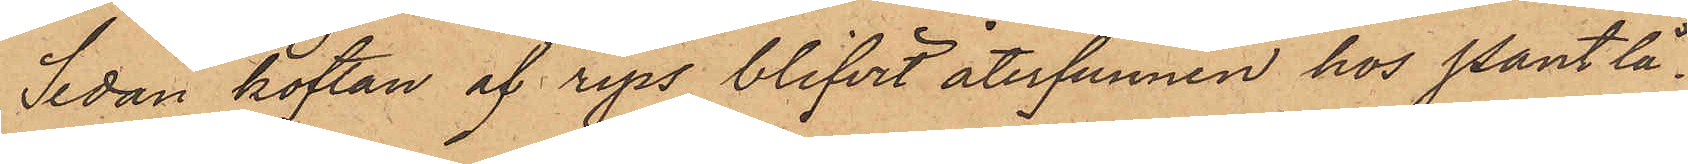Sedan koftan af rips blifvit återfunnen hos Pantlå¬
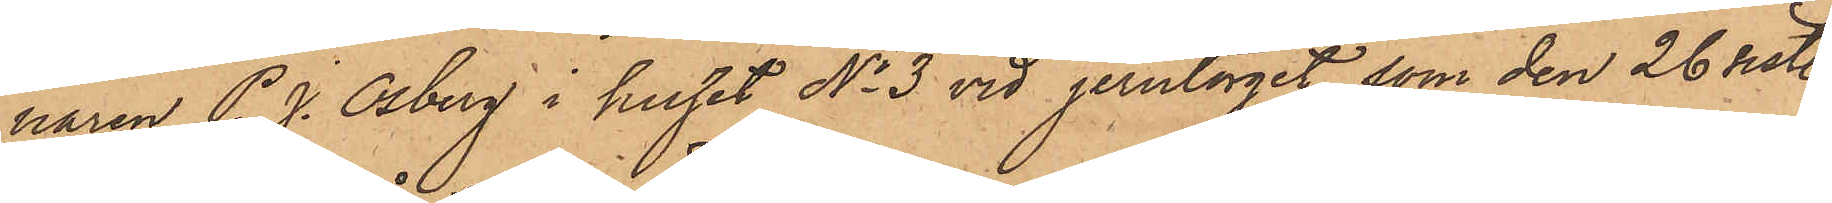naren P. J. Osberg i huset No 3 vid Jerntorget, som den 26 sist.
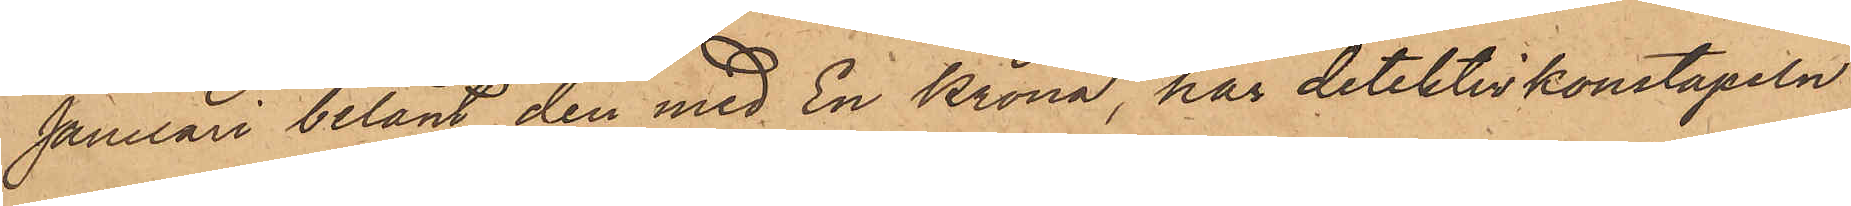Januari belånt den med En Krona, har detektivkonstapeln
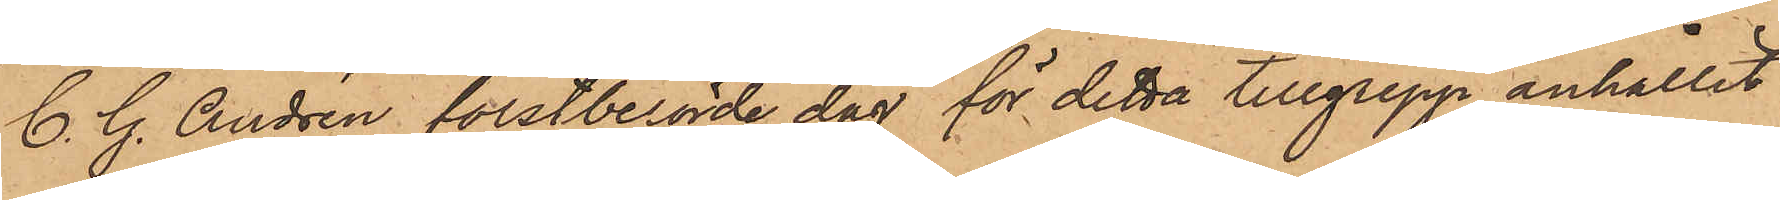C. G. Andrén förstberörde dag för detta tillgrepp anhållit
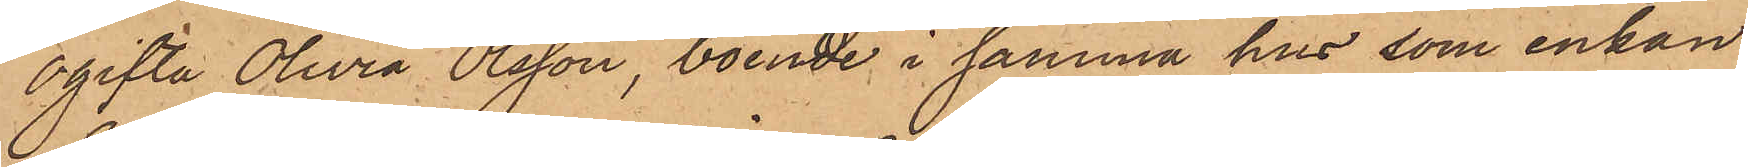ogifta Olivia Olsson, boende i samma hus, som enkan
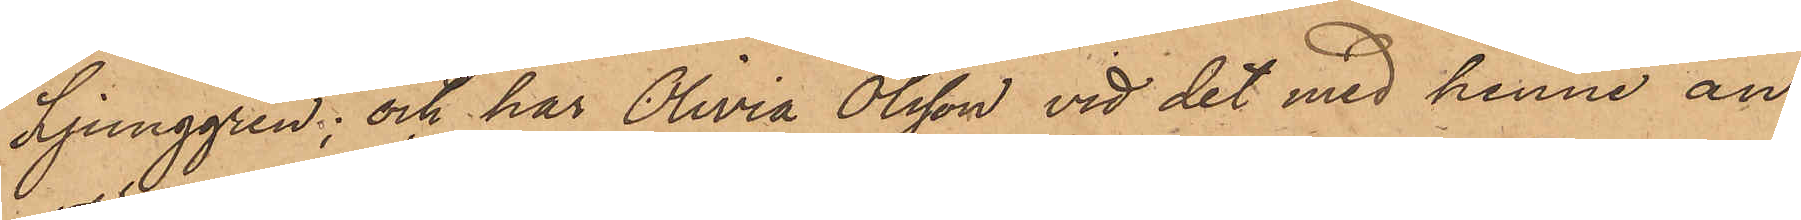Ljunggren; och har Olivia Olsson vid det med henne an¬
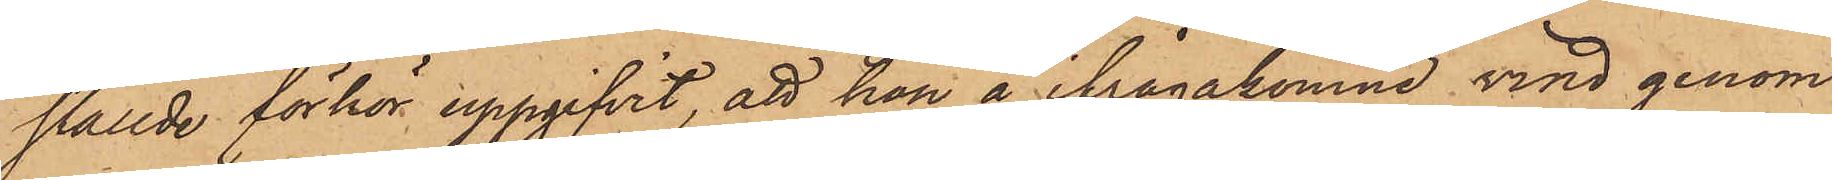ställde förhör uppgifvit, att hon å ifrågakomne vind genom
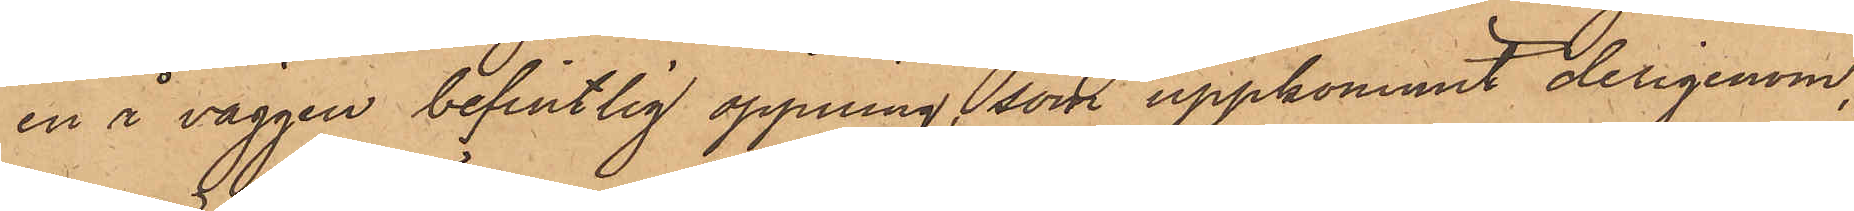en i väggen befintlig öppning, som uppkommit derigenom,
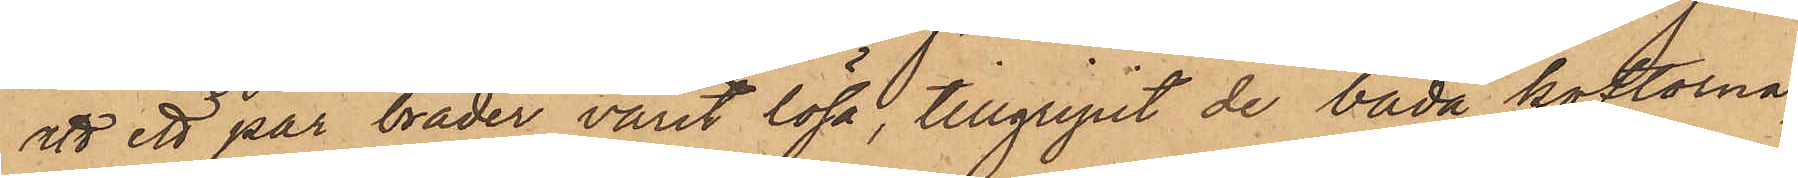ett ett par bräder varit lösa, tillgripit de båda koftorna,
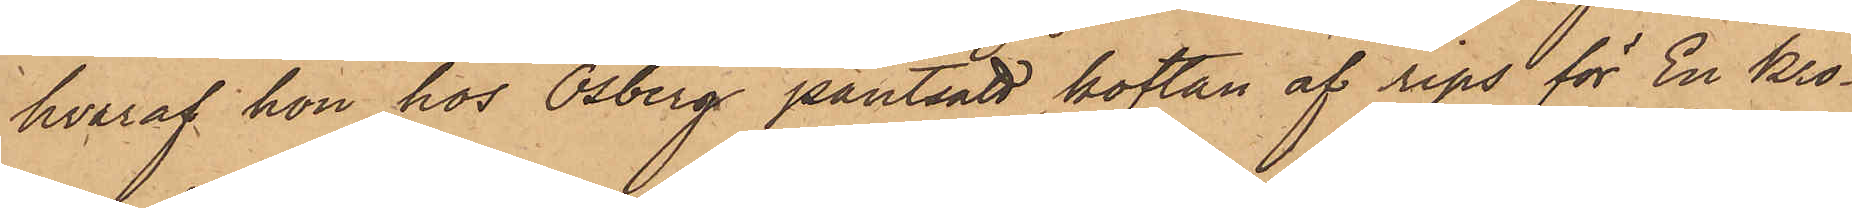hvaraf hon hos Osberg pantsatt koftan af rips för En Kro¬
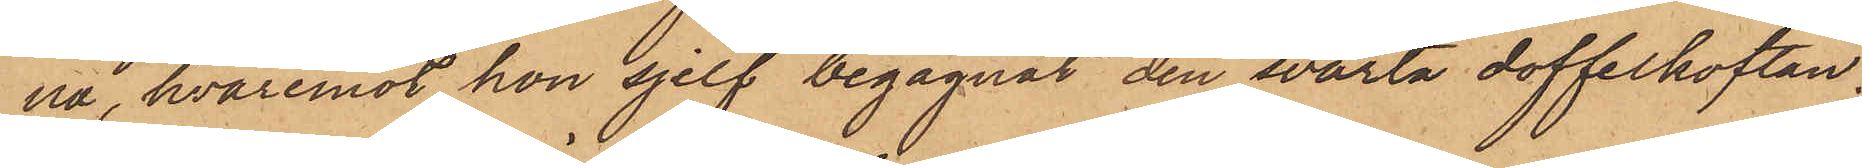na, hvaremot hon sjelf begagnat den svarta doffelkoftan,
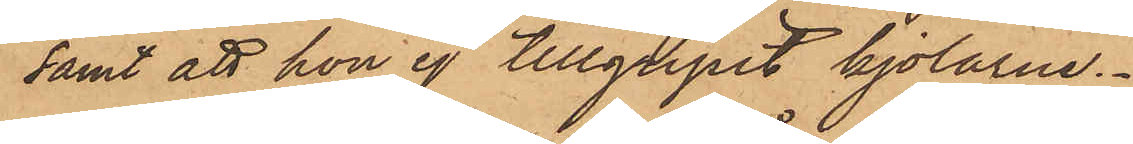samt att hon ej tillgripit kjolarne.
